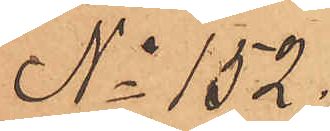No 152.
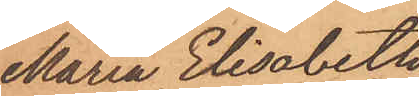Maria Elisabeth
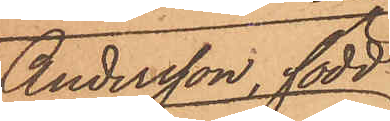Andersson, född
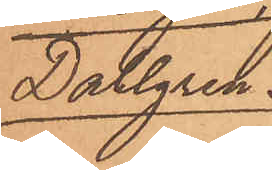Dahlgren
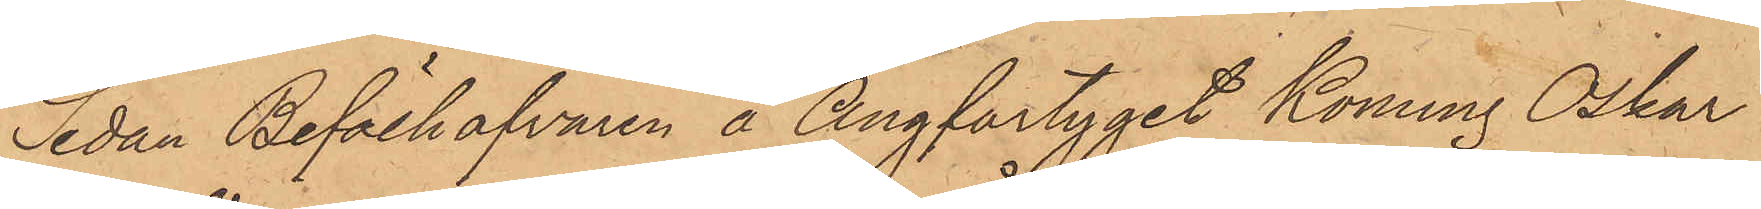Sedan Befälhafvaren å Ångfartyget Konung Oskar
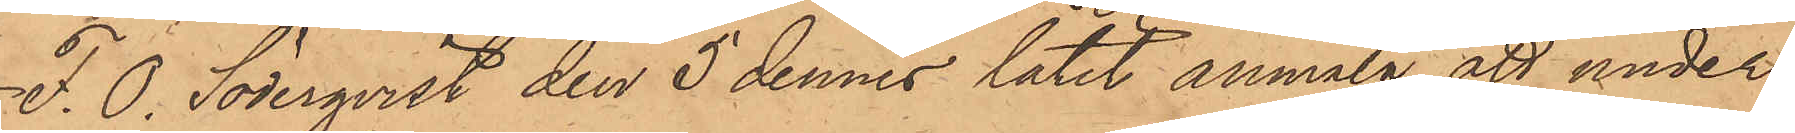F. O. Söderqvist den 5 dennes låtit anmäla, att under
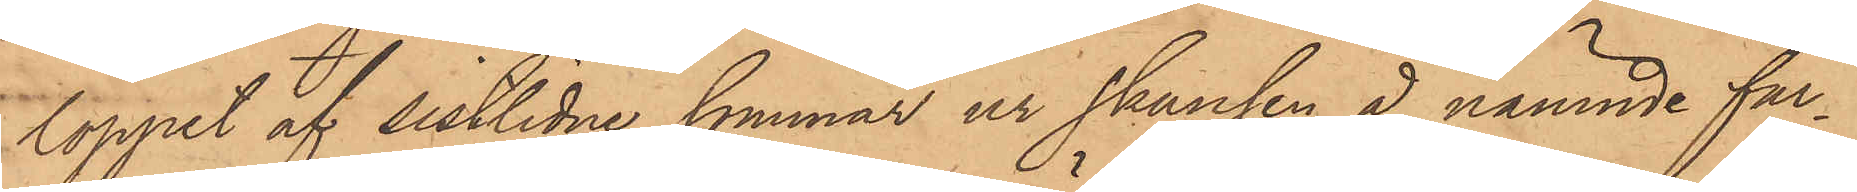loppet af sistlidne sommar ur skansen å nämnde far¬
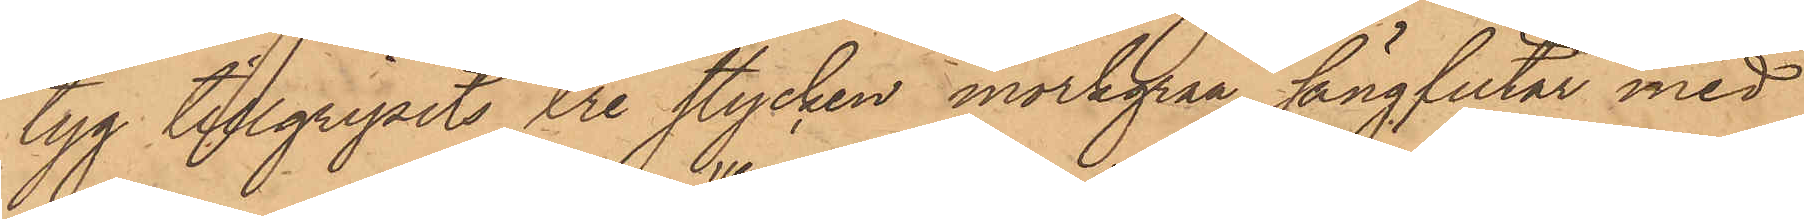tyg tillgripits tre stycken mörkgrå sängfiltar med
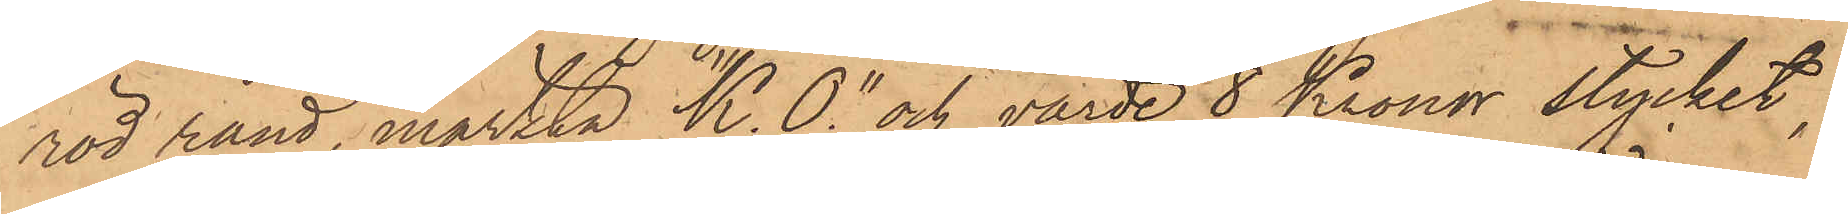röd rand, märkta "K. 0" och värde 8 Kronor stycket,
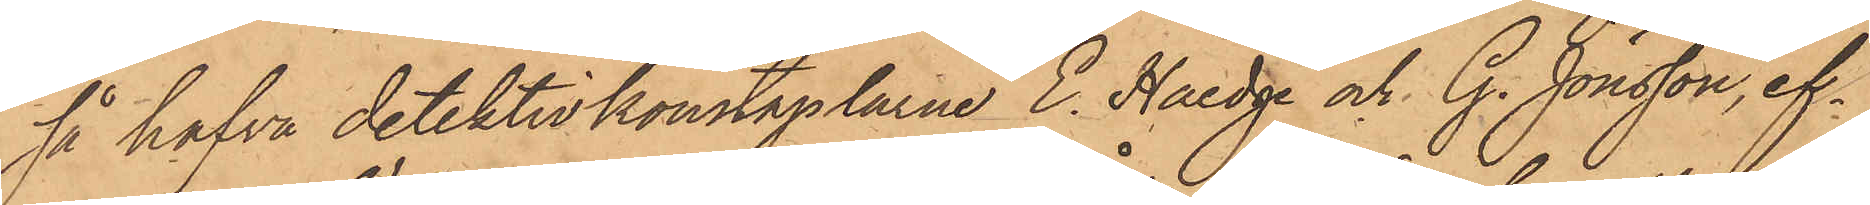så hafva detektivkonstaplarne E. Haedge och G. Jönsson, ef¬
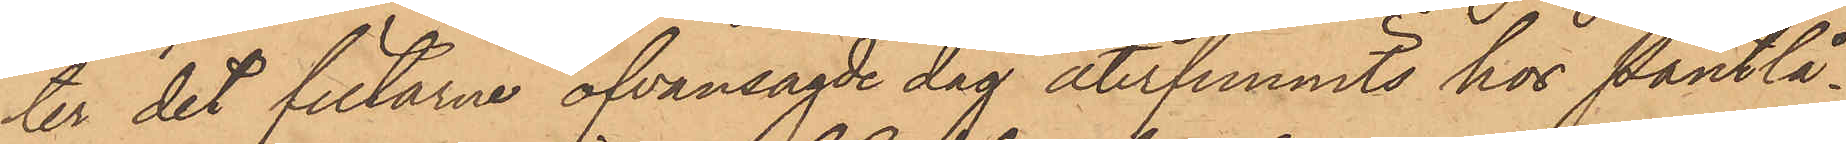ter det filtarne ofvansagde dag återfunnits hos Pantlå¬
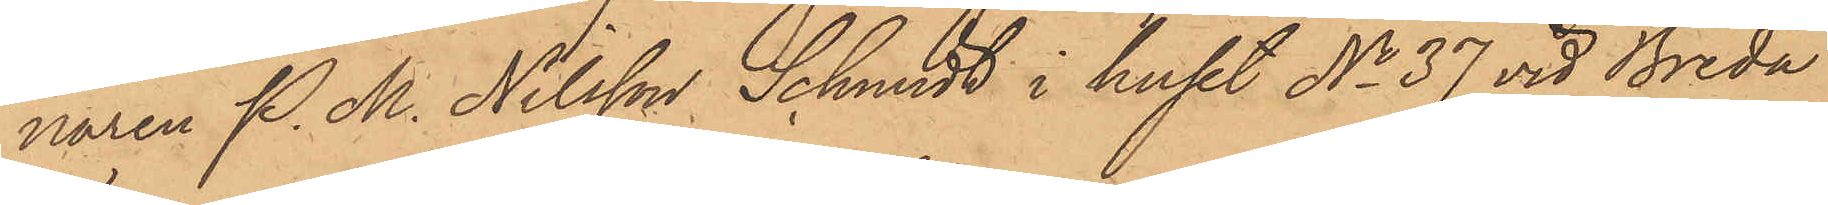naren P. M. Nilsson Schmidt i huset No 37 vid Breda
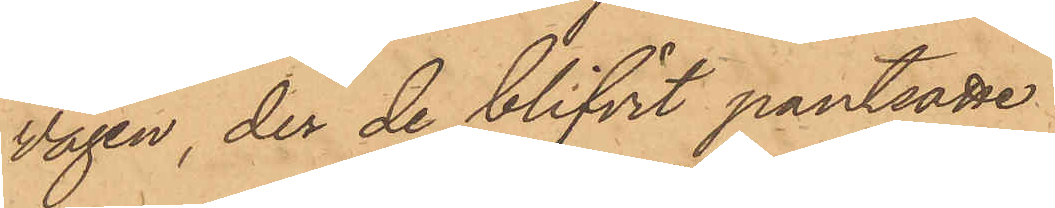vägen, der de blifvit pantsatte
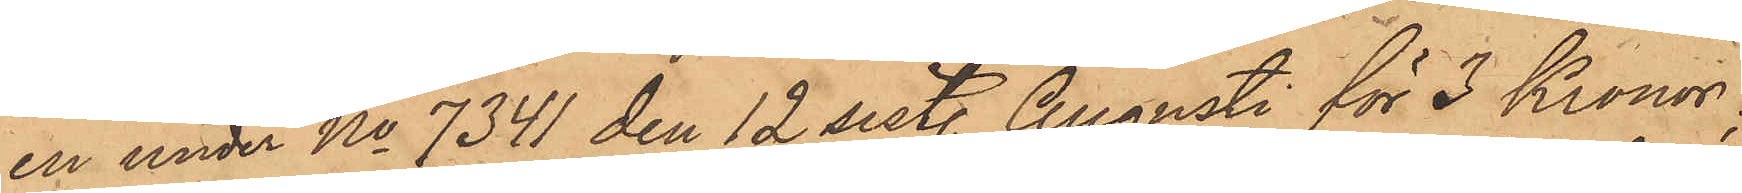en under No 7341 den 12 sist. Augusti för 3 Kronor;
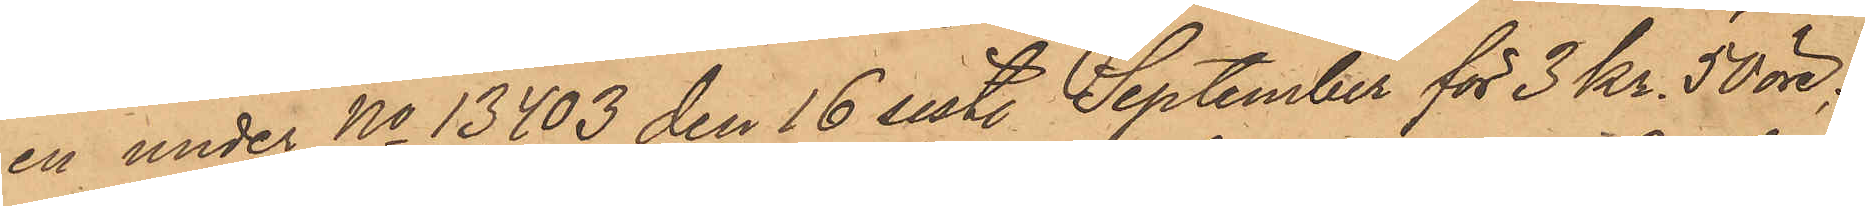en under No 13.403 den 16 sist. September för 3 Kr 50 öre;
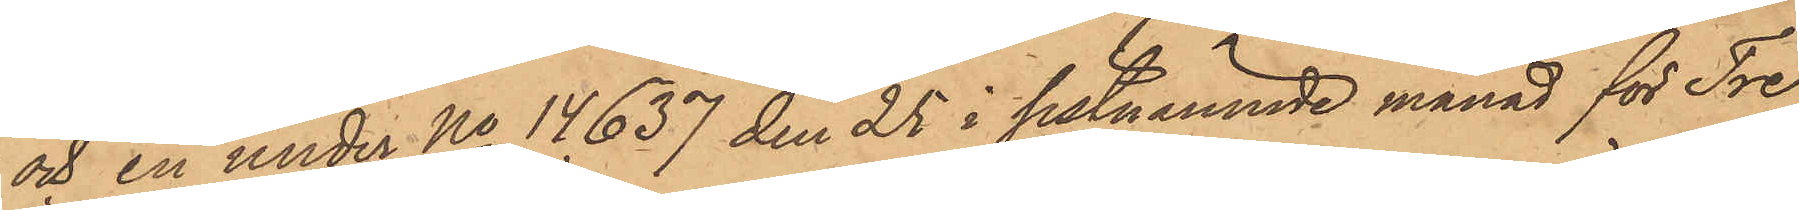och en under No 14.637 den 25 i sistnämnde månad för Tre
